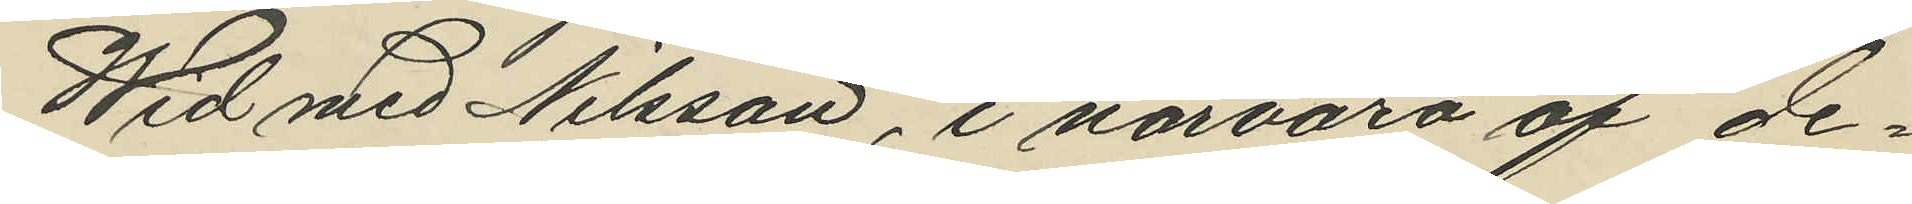Wid med Nilsson, i närvaro af de¬
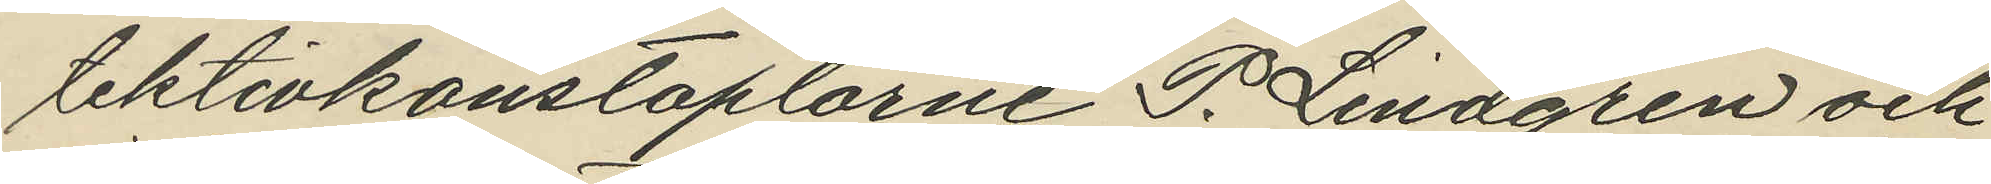tektivkonstaplarne P. Lindgren och
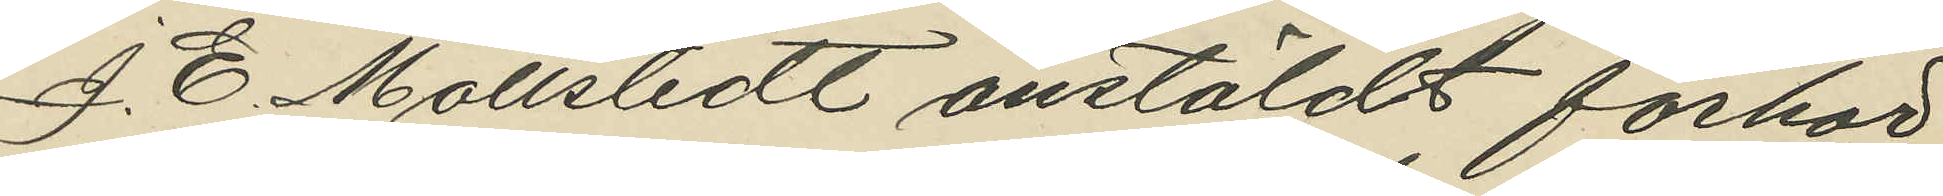J. E. Mollstedt anstäldt förhör
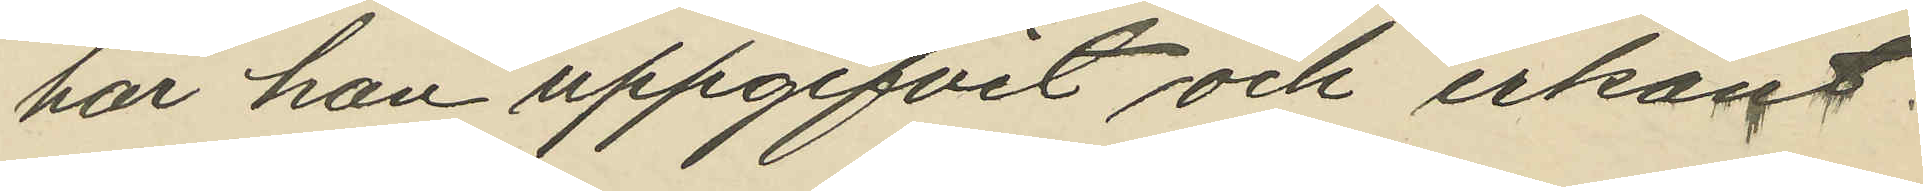har han uppgifvit och erkänt:
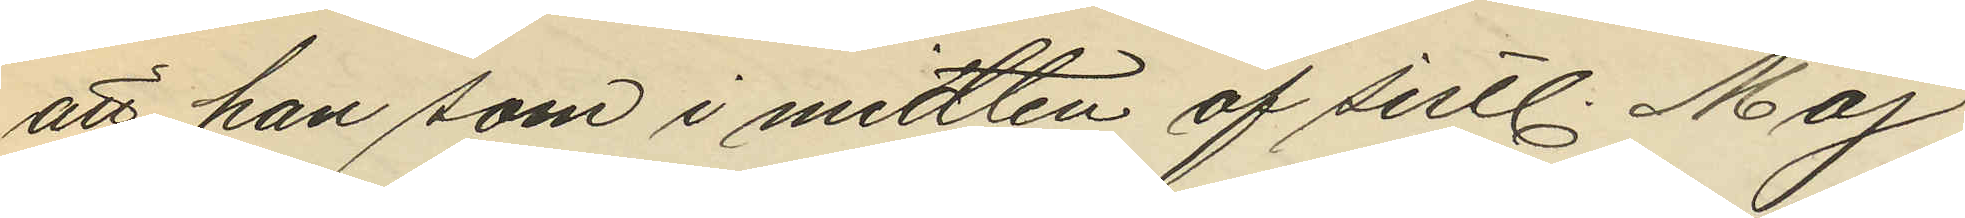att han som i midten af sistl. Maj
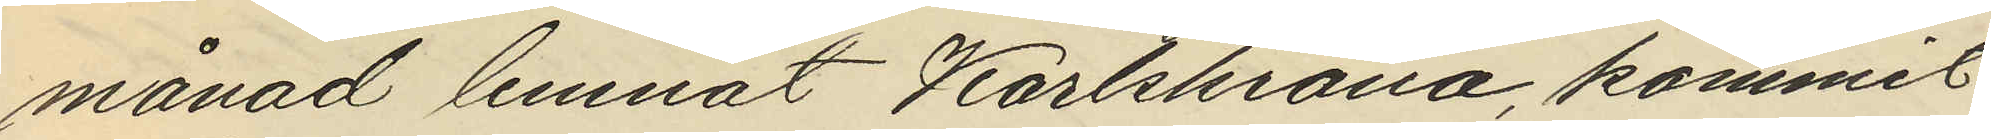månad lemnat Karlskrona, kommit
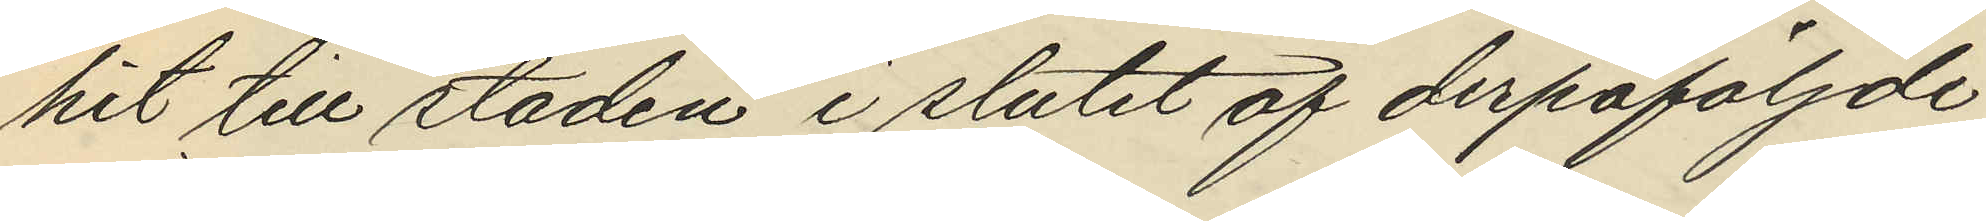hit till staden i slutet af derpåföljnde
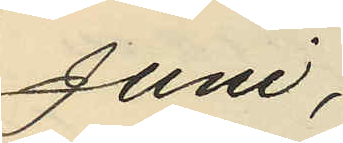Juni;
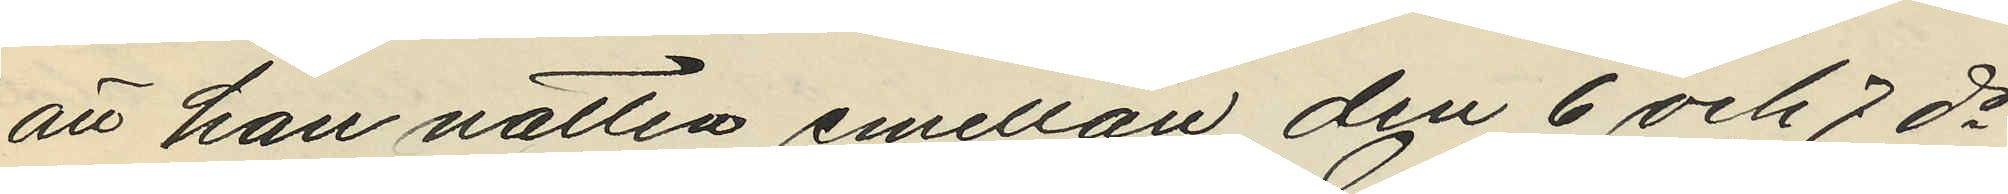att han natten emellan den 6 och 7 ds
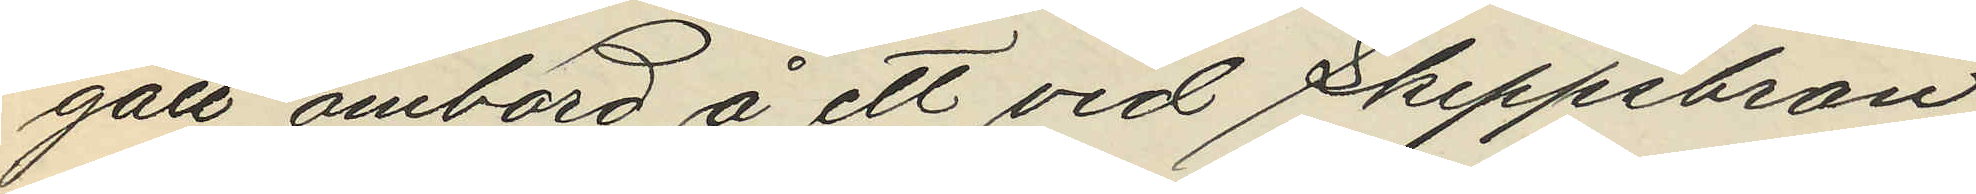gått ombord å ett vid Skeppsbron
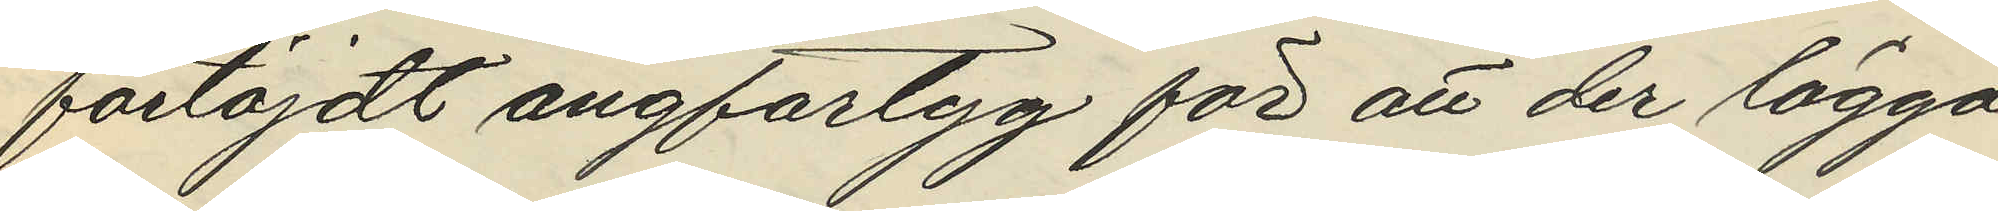förtöjdt ångfartyg för att der lägga
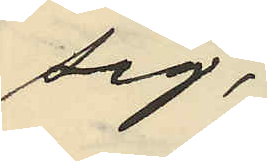sig;
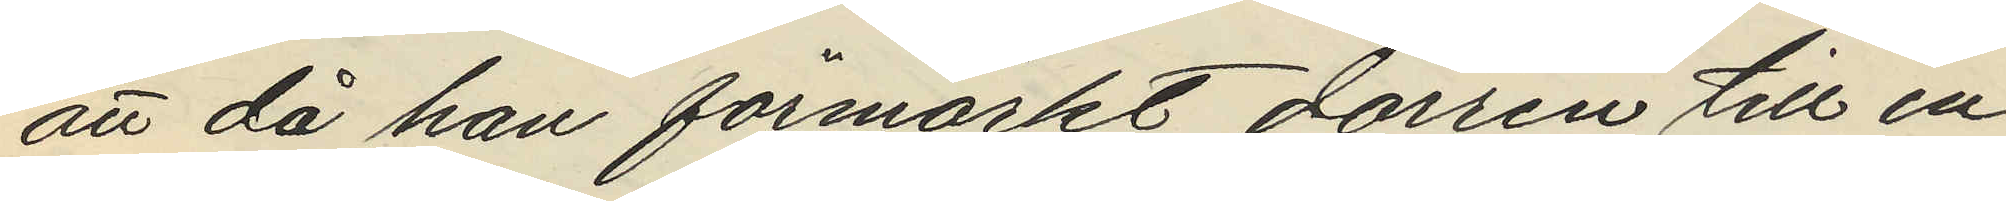att då han förmärkt dörren till en
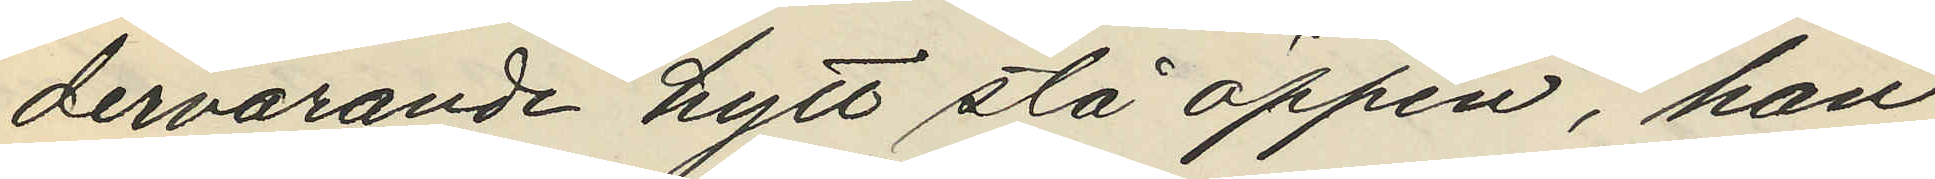dervarande hytt stå öppen, han
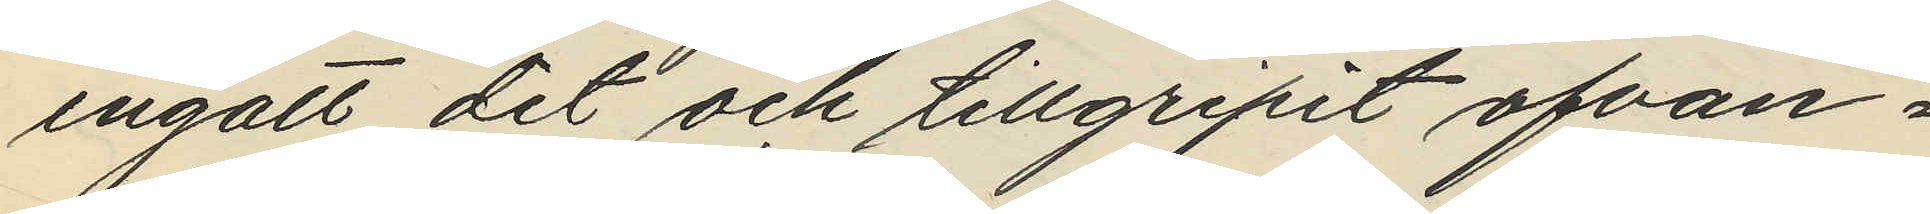ingått dit och tillgripit ofvan¬
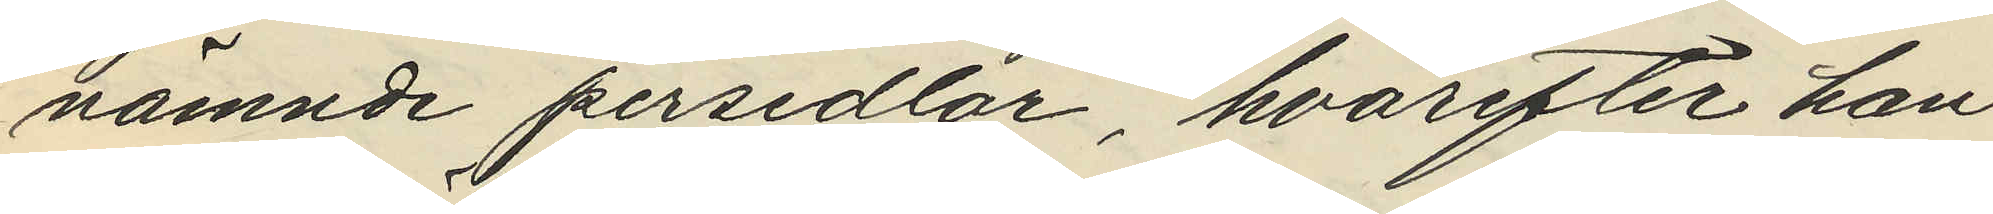nämnde persedlar, hvarefter han
